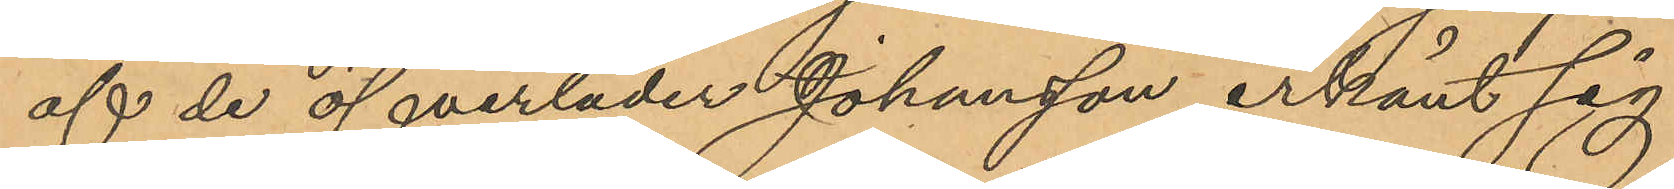af de öfverläder Johansson erkänt sig
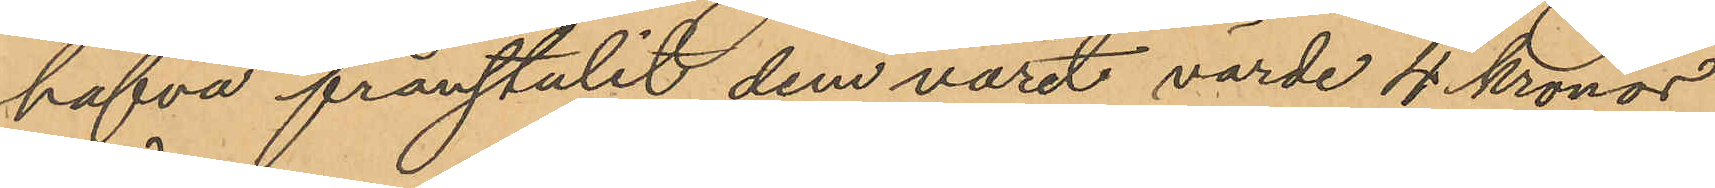hafva frånstulit dem varit värde 4 Kronor
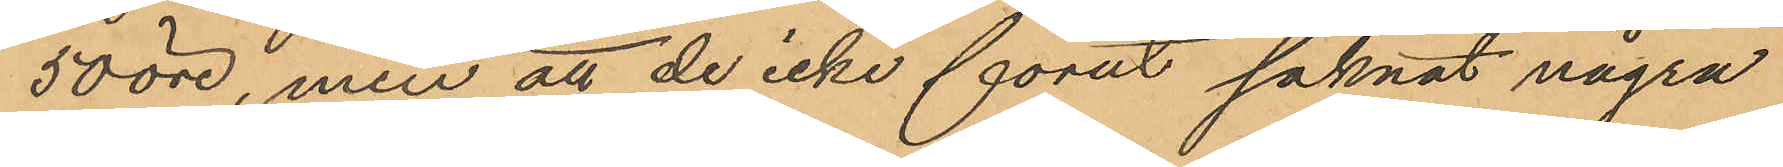50 öre, men att de icke förut saknat några
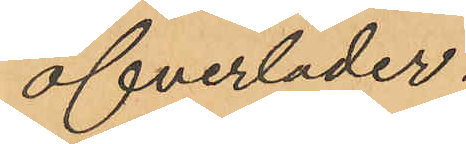öfverläder.
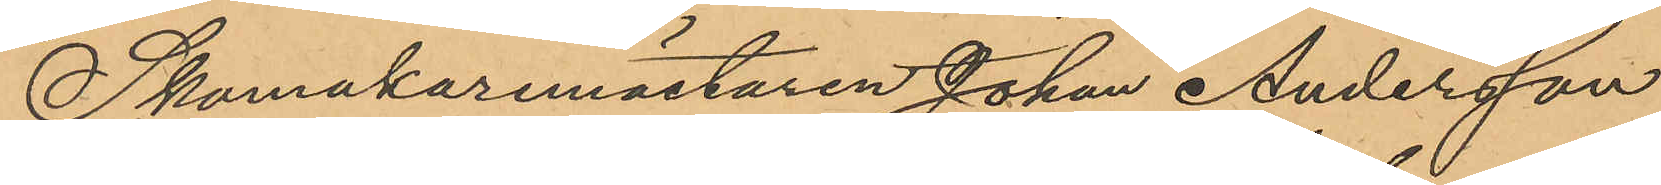Skomakaremästaren Johan Andersson
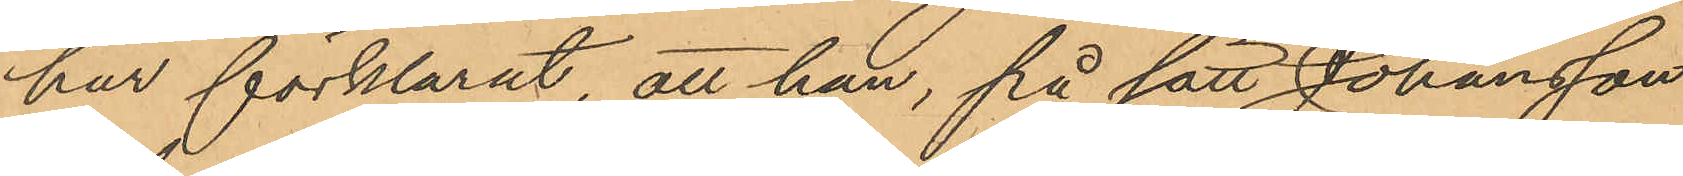har förklarat, att han, på sätt Johansson
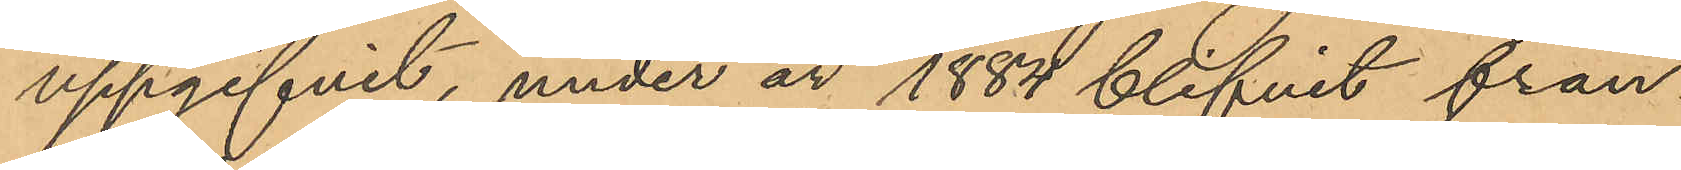uppgifvit, under år 1884 blifvit från¬
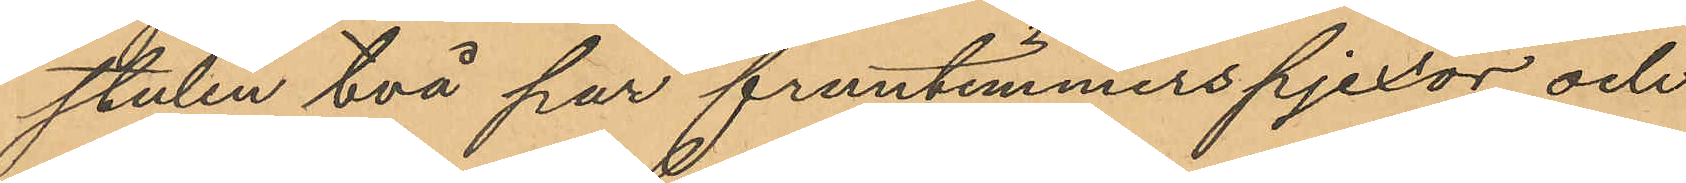stulen två par fruntimmerspjexor och
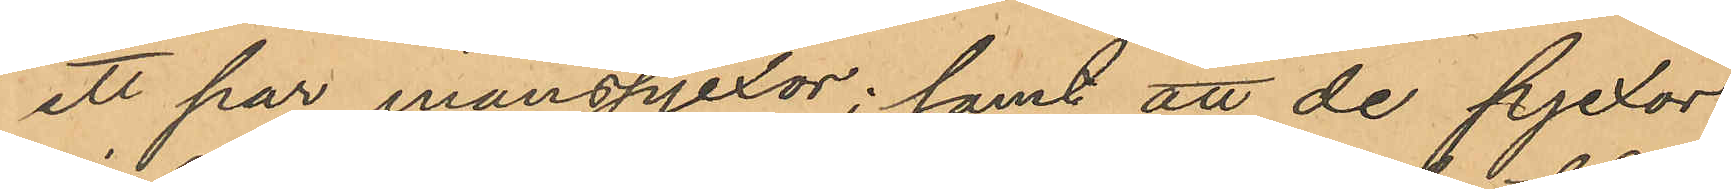ett par manspjexor; samt att de pjexor
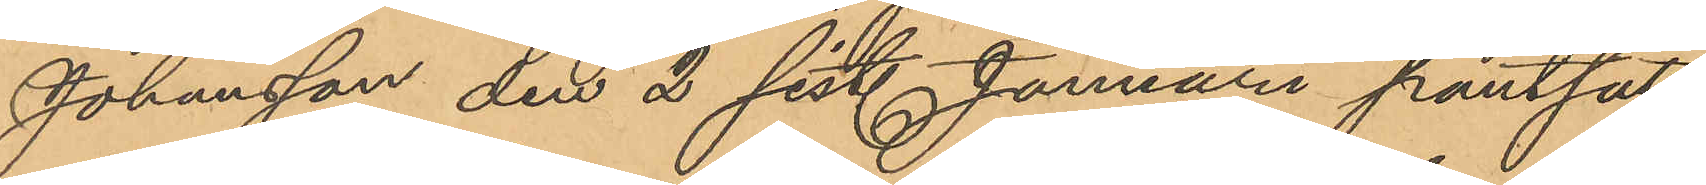Johansson den 2 sist. Januari pantsatt
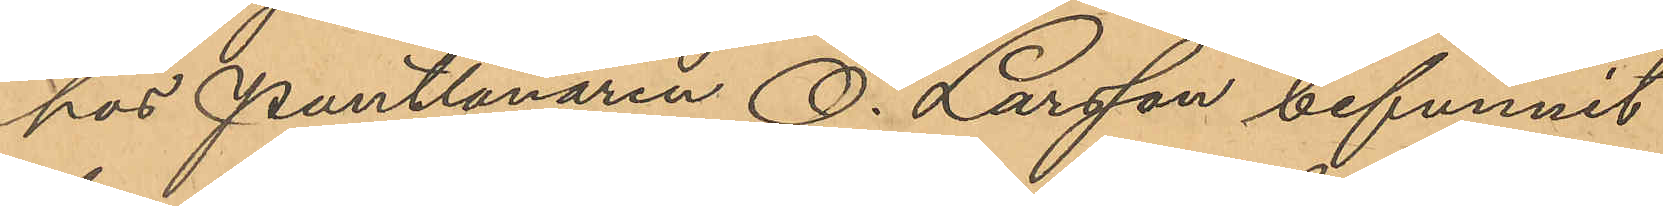hos Pantlånaren O. Larsson befunnit
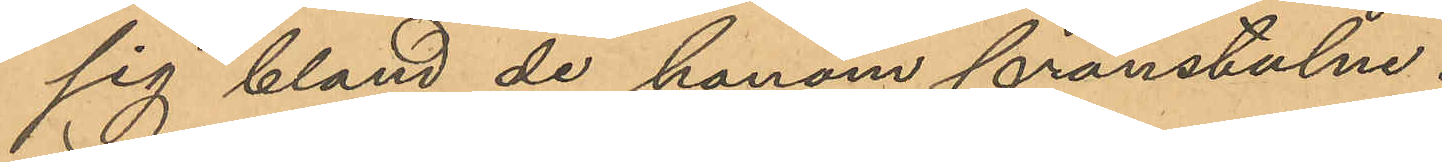sig bland de honom frånstulne.
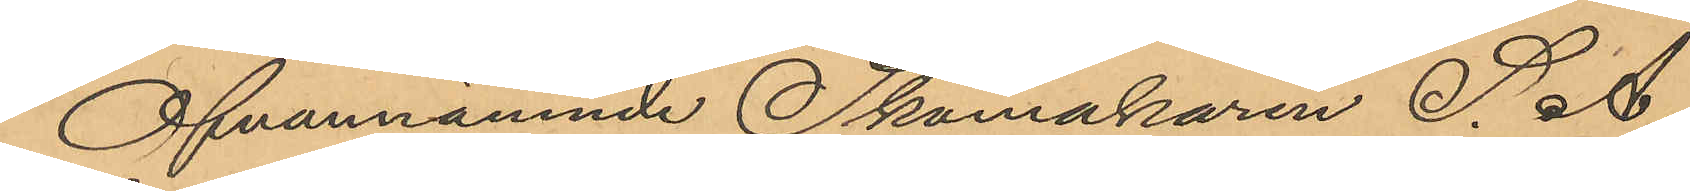Ofvannämnde Skomakaren S. A
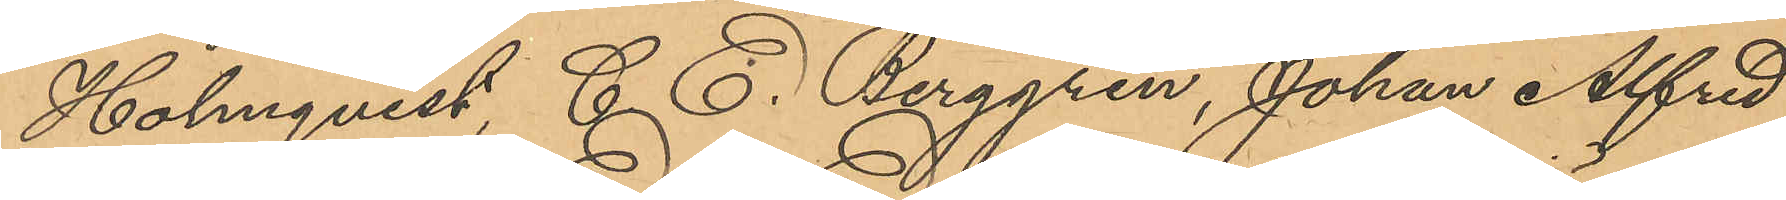Holmqvist, C. E. Berggren, Johan Alfred
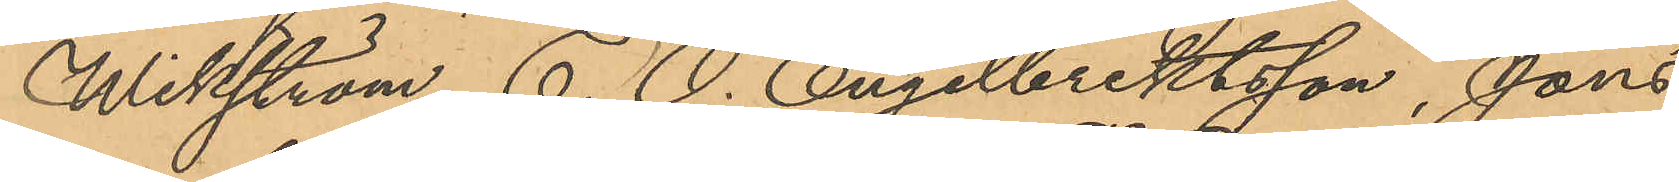Wikström, E. O. Engelbrektsson, Jöns
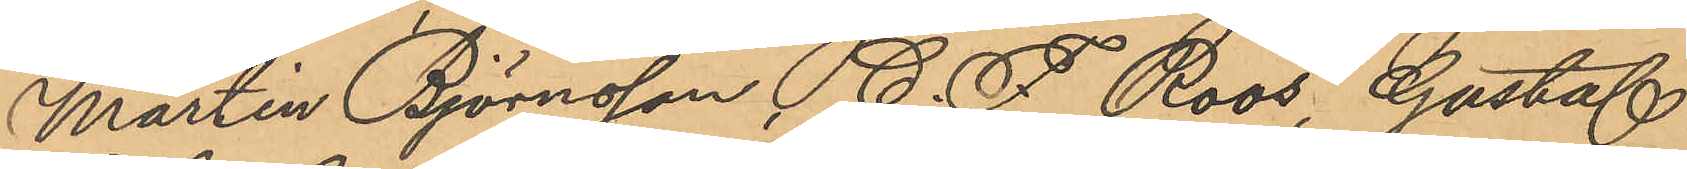Martin Björnsson, C. F. Roos, Gustaf
